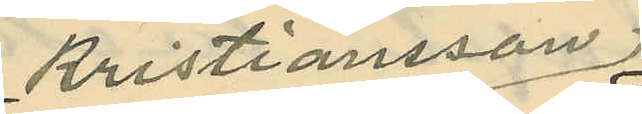Kristiansson
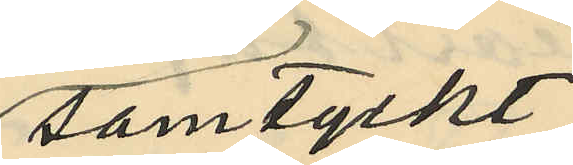samtyckt;
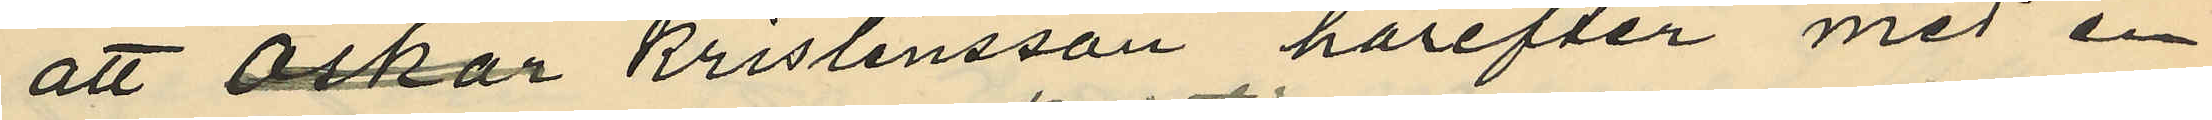att Oskar Kristensson härefter med en
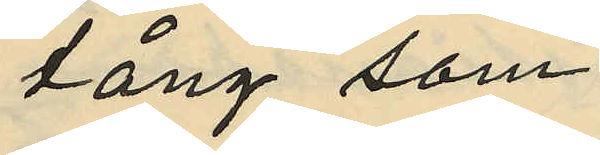tång, som
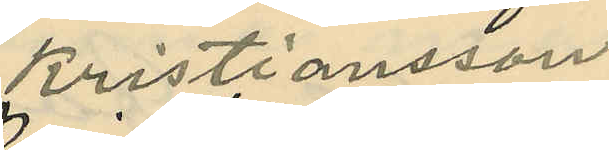Kristiansson
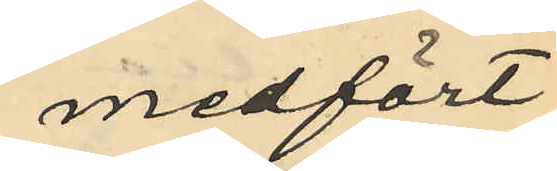medfört,
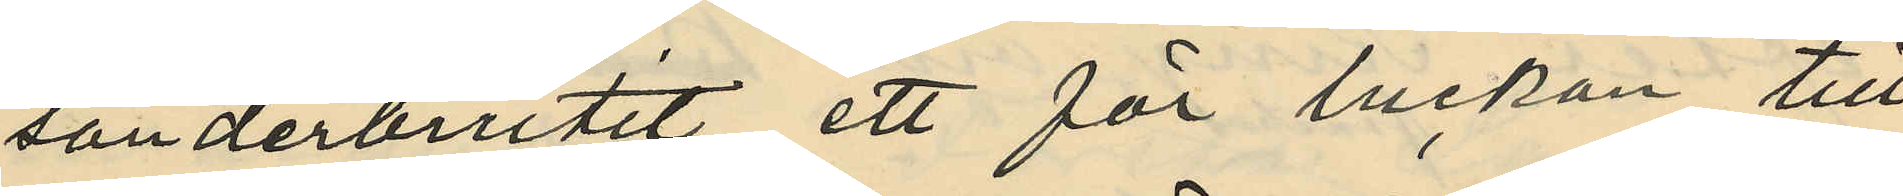sönderbrutit ett för luckan till
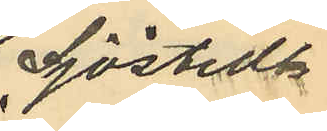Sjöstedts
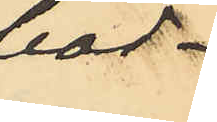bod¬
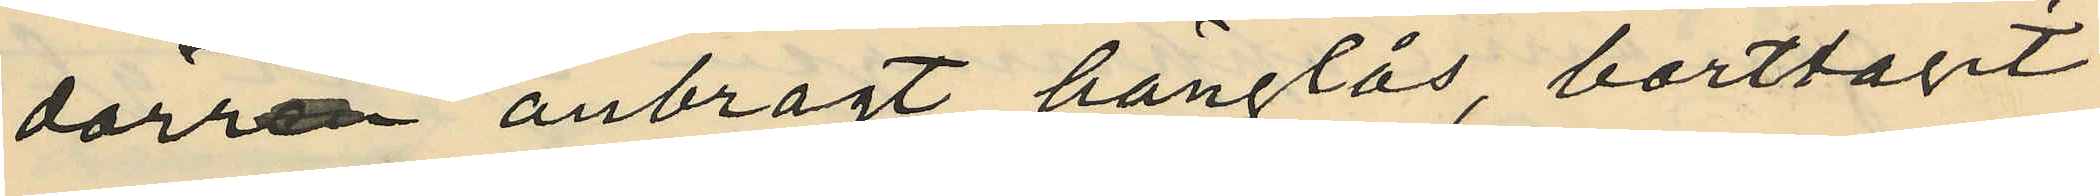dörr anbragt hänglås, borttagit
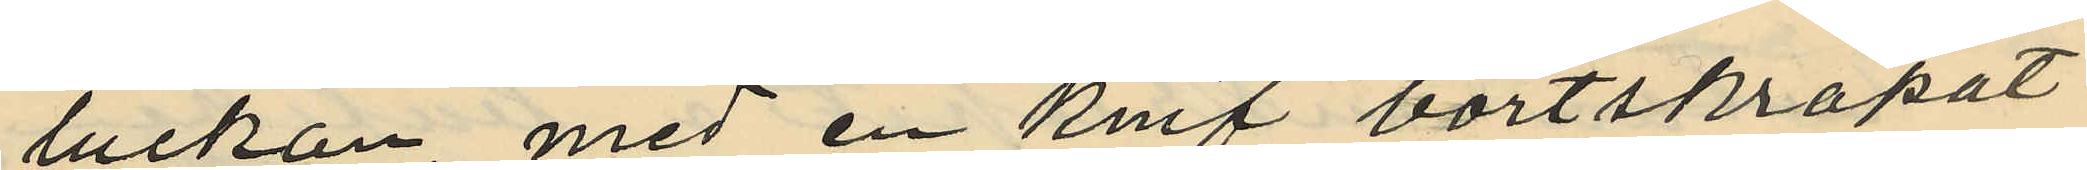luckan, med en knif bortskrapat
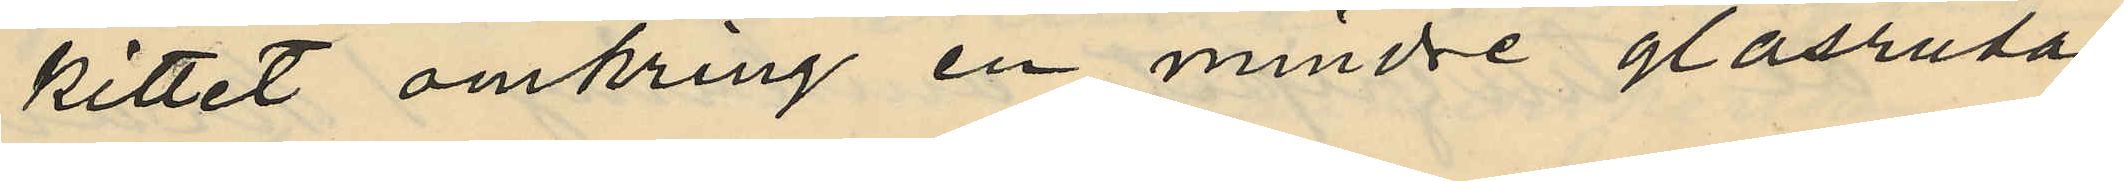kittet omkring en mindre glasruta
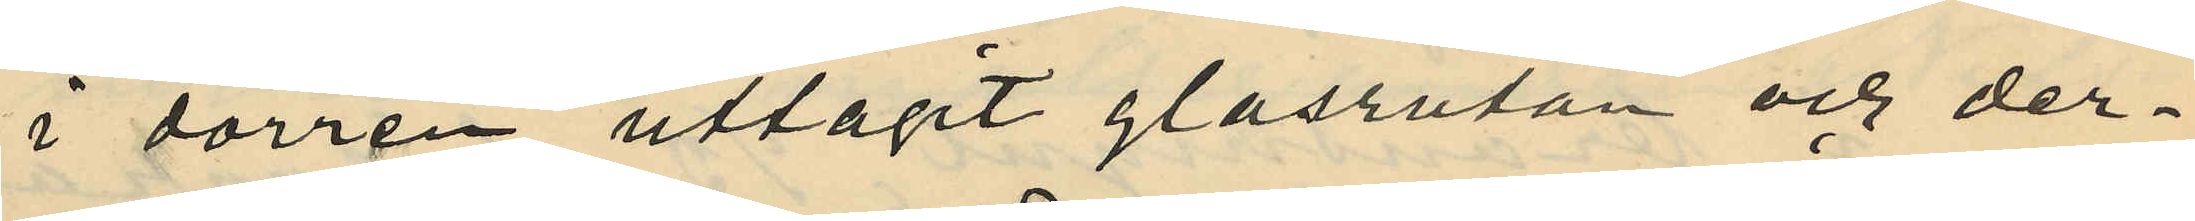i dörren, uttagit glasrutan och der¬
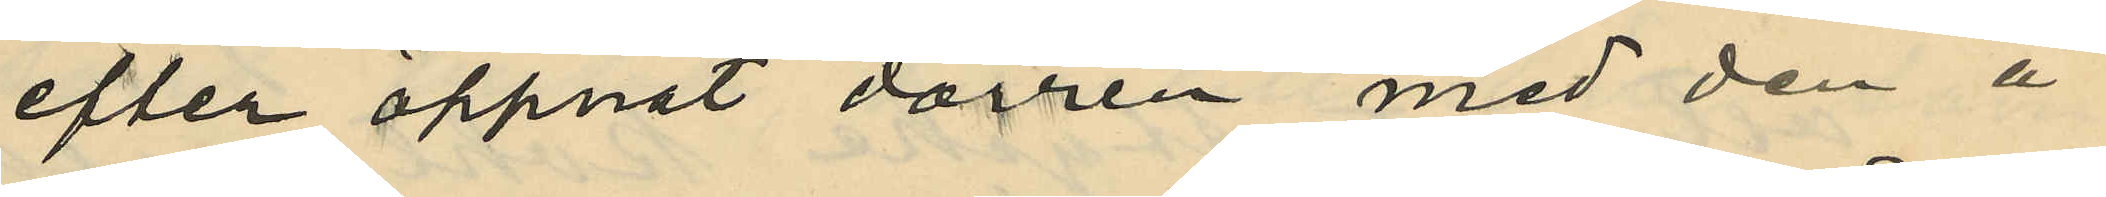efter öppnat dörren med den å
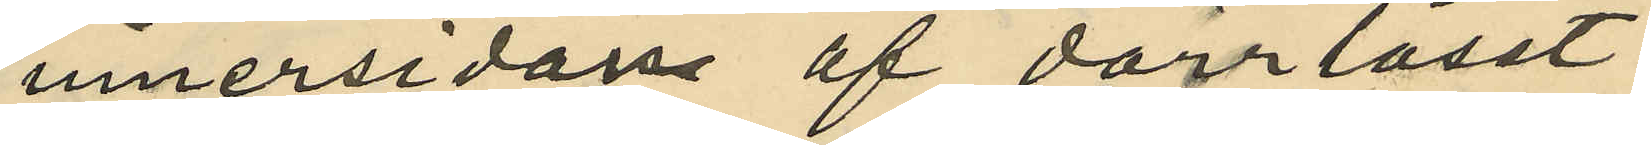innersidan af dörrlåset
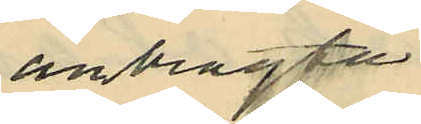anbragta
